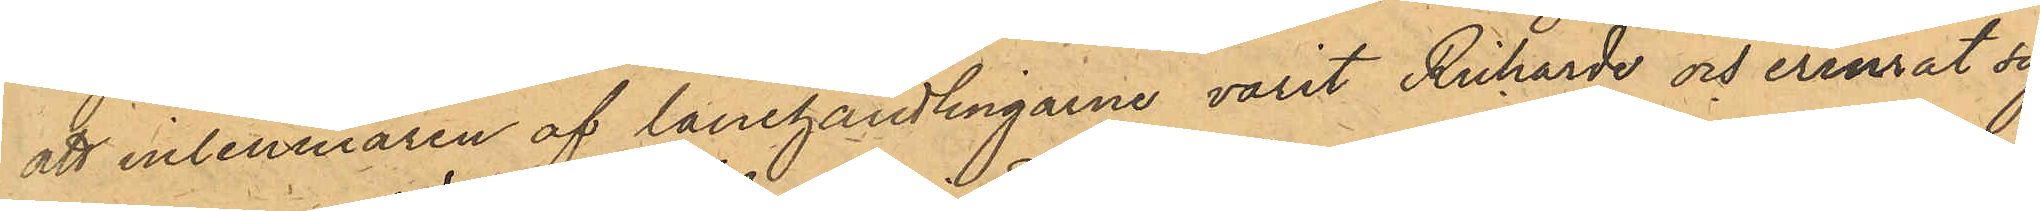att inlemnaren af lånehandlingarne varit Richarde och erinrat sig
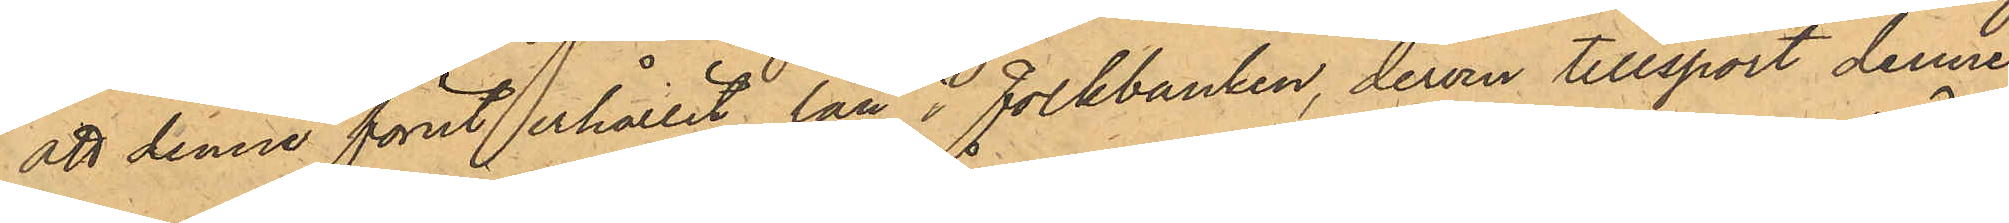att denne förut erhållit lån i Folkbanken, derom tillsport denne,
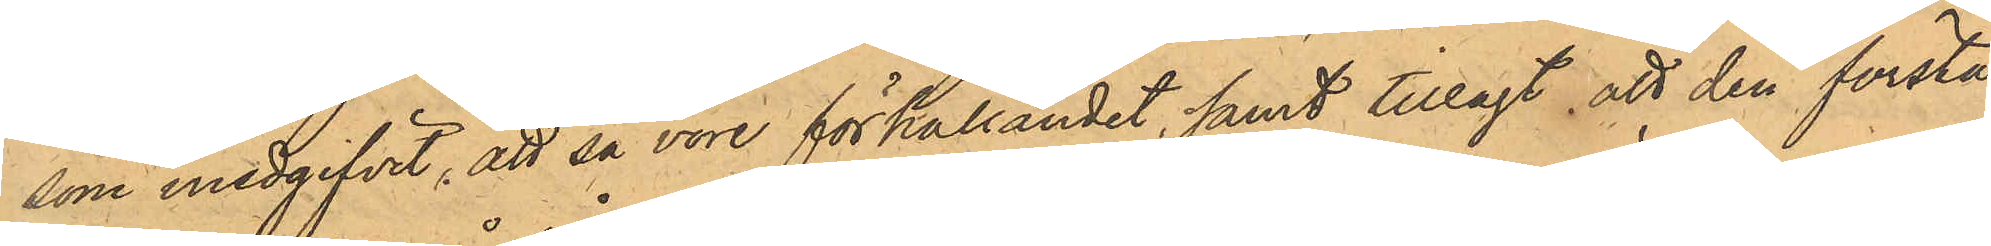som medgifvit, att så vore förhållandet, samt tillagt att den första
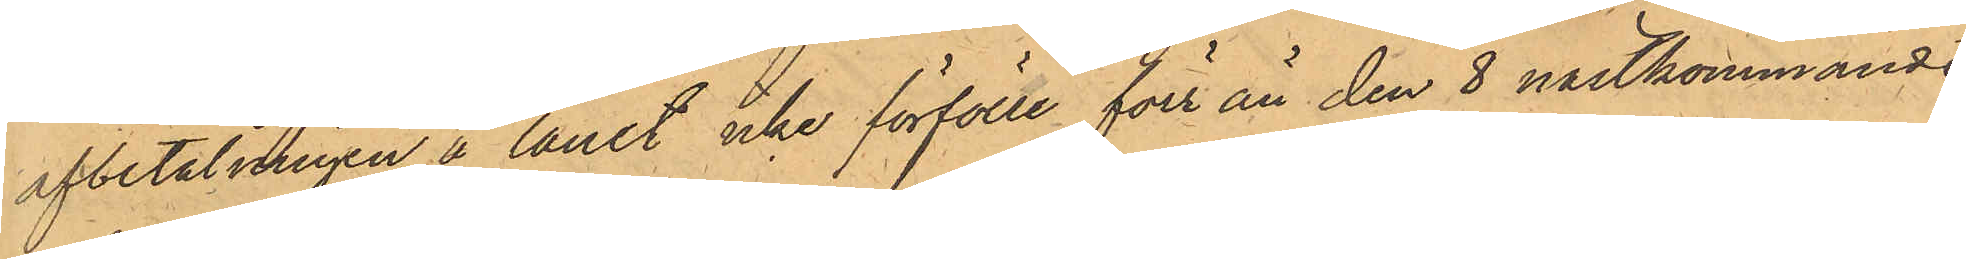afbetalningen å lånet icke förfölle förr än den 8 nästkommande
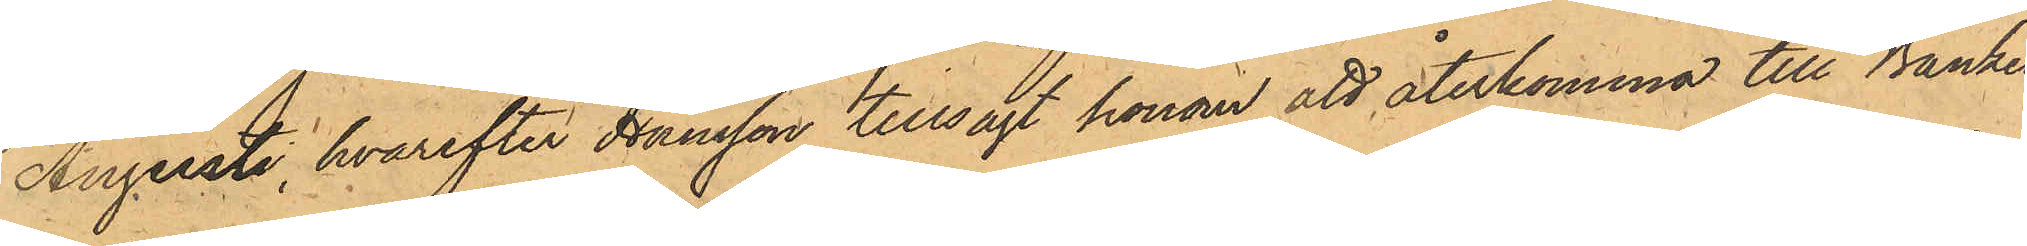Augusti, hvarefter Hansson tillsagt honom att återkomma till Banken
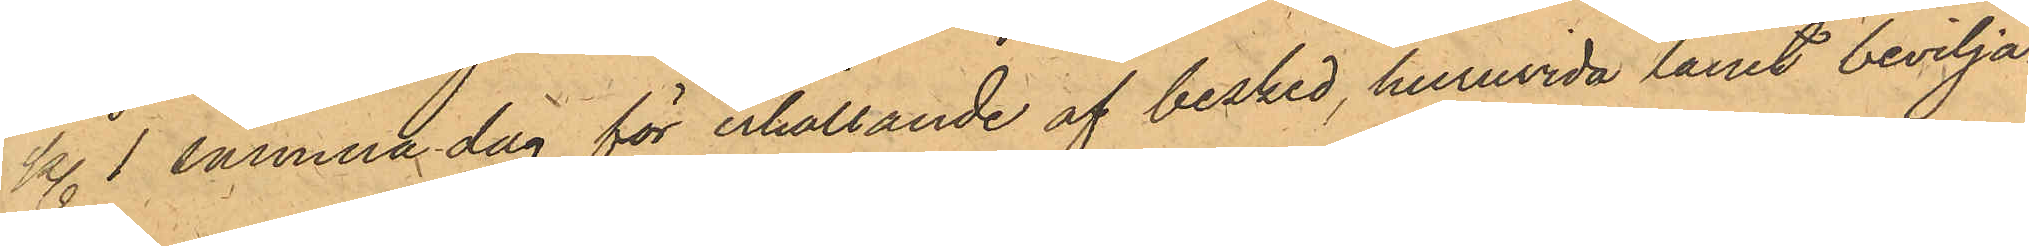kl. 1 samma dag för erhållande af besked, huruvida lånet bevilja¬
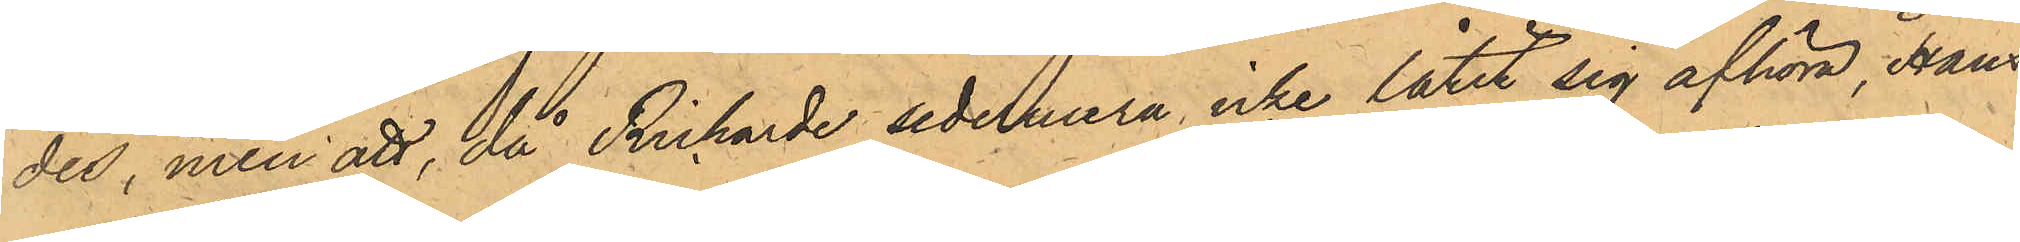des, men att, då Richarde sedermera icke låtit sig afhöra, Hans¬
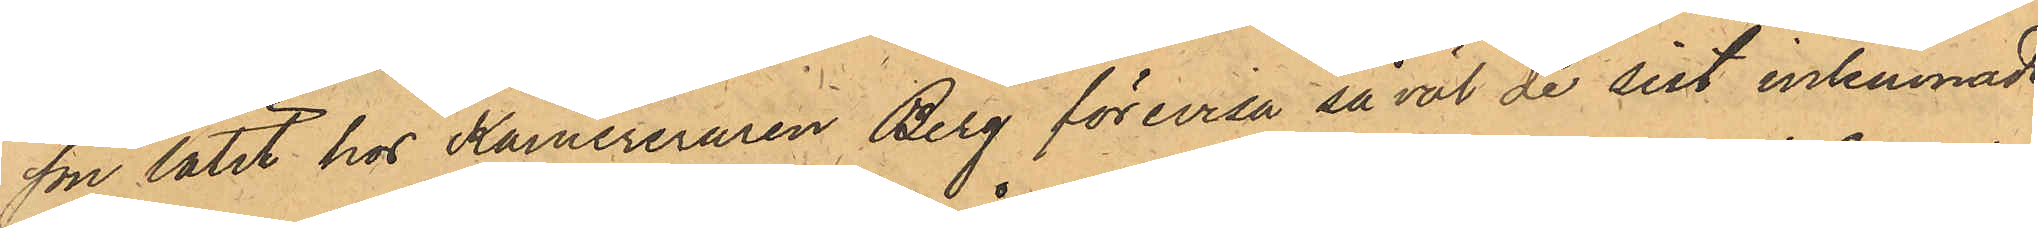son låtit hos Kamereraren Berg förevisa såväl de sist inlemnade
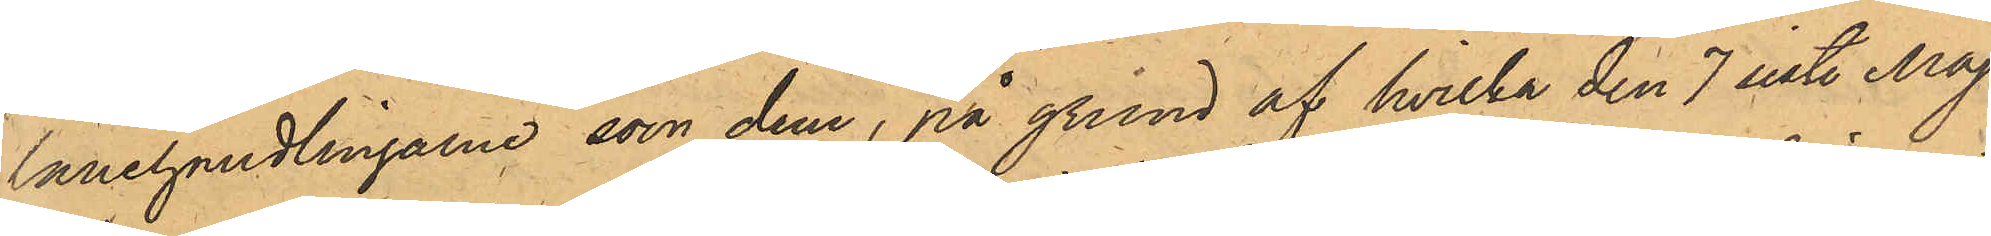lånehandlingarne som dem, på grund af hvilka den 7 sist. Maj
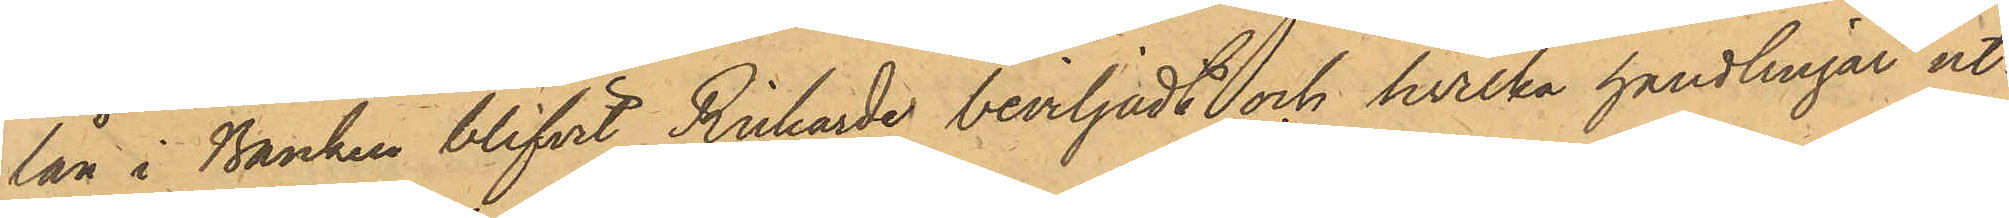lån i Banken blifvit Richarde beviljadt och hvilka handlingar ut¬
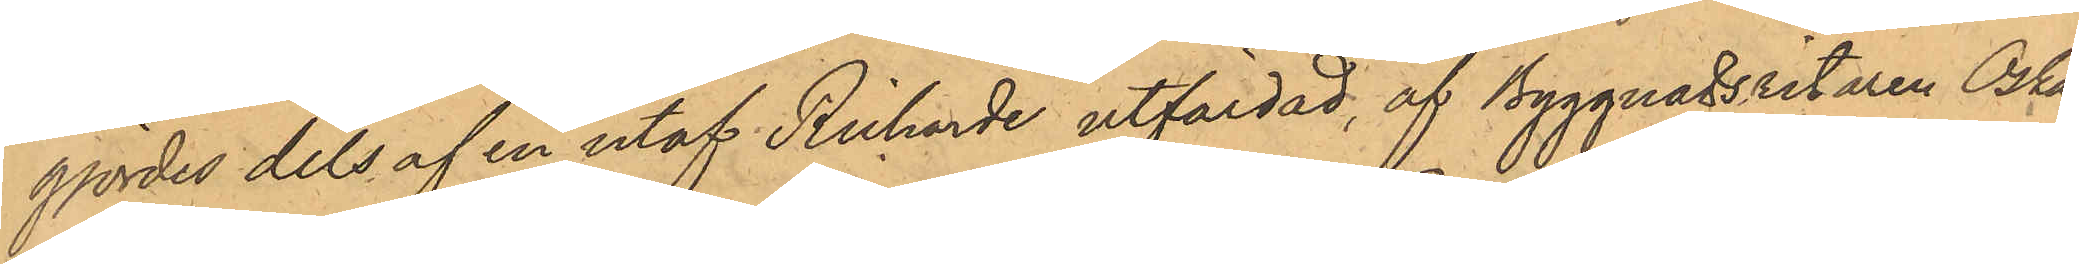gjordes dels af en utaf Richarde utfärdad, af Byggnadsritaren Oskar
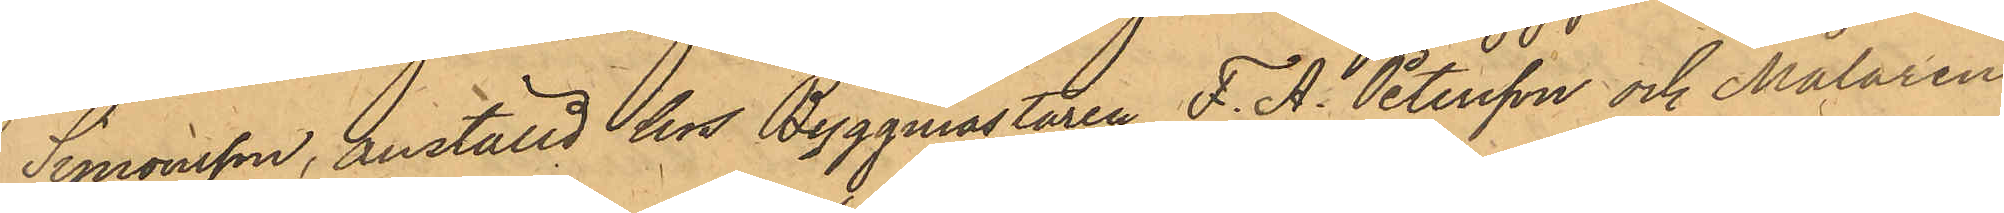Simonsson, anställd hos Byggmästaren F. A. Petersson och Målaren
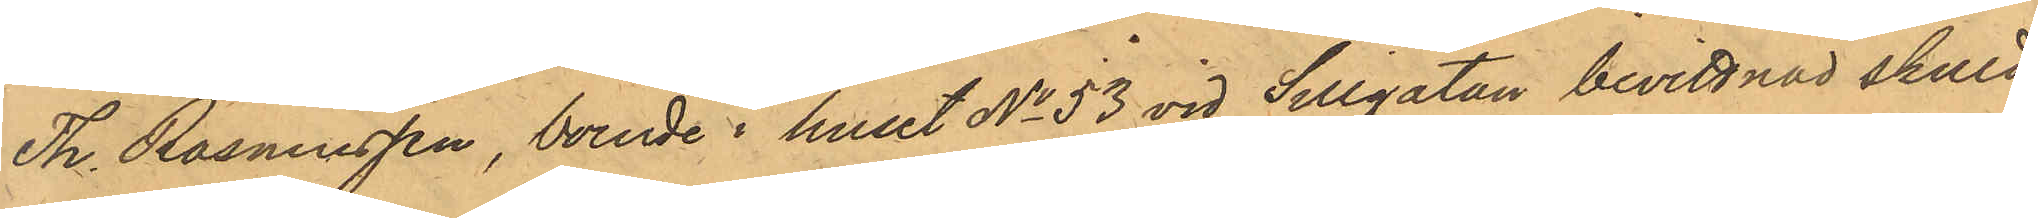T. Rasmussen, boende i huset No 53 vid Sillgatan bevittnad skuld¬
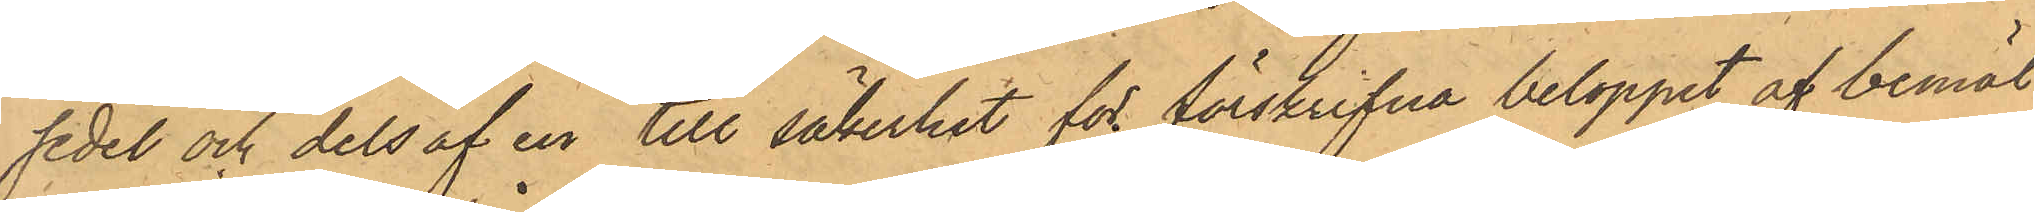sedel och dels af en till säkerhet för förskrifna beloppet af bemäl¬
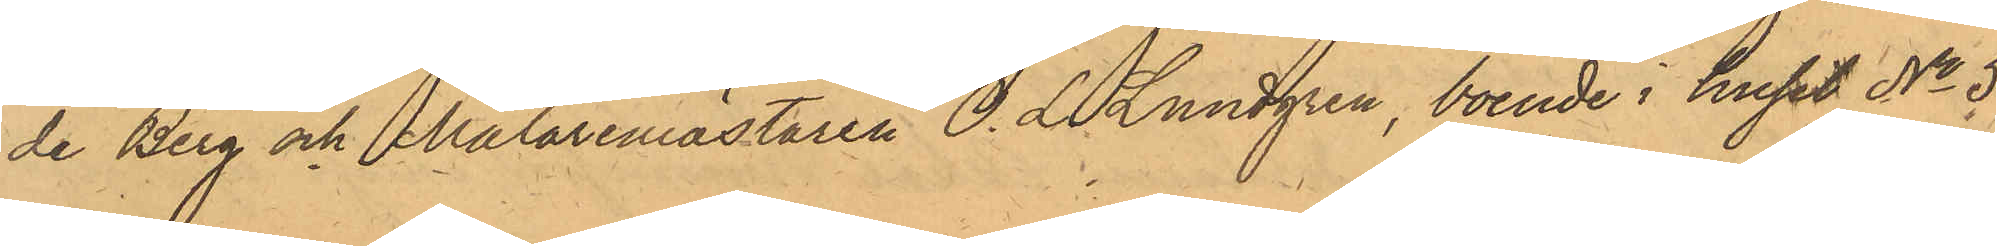de Berg och Målaremästaren O. L. Lundgren, boende i huset No 5
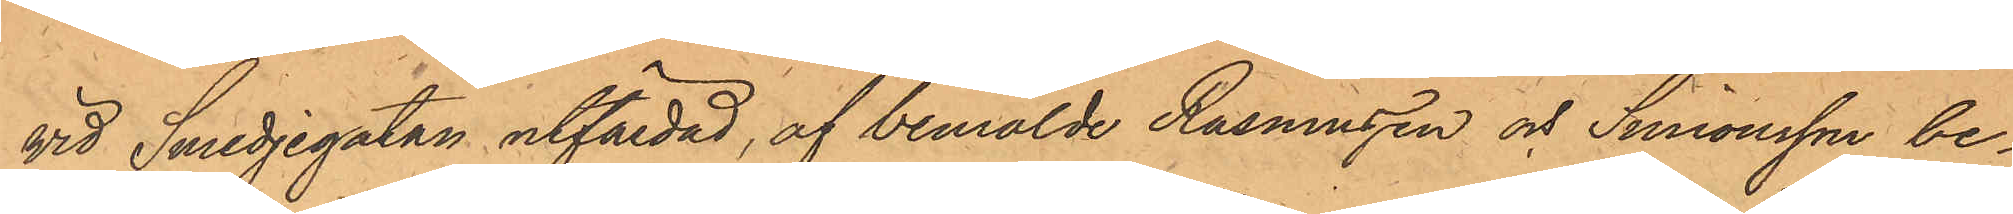vid Smedjegatan utfärdad, af bemälde Rasmussen och Simonsson be¬
